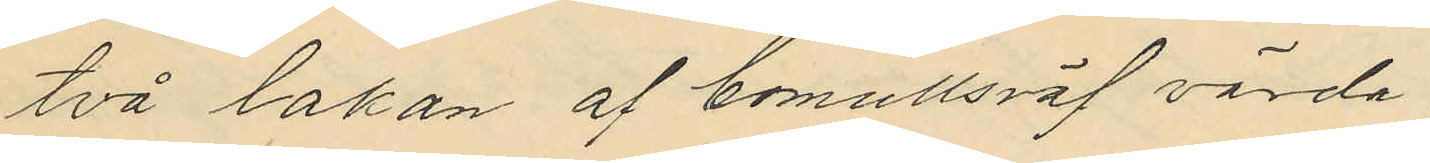två lakan af bomullsväf värda
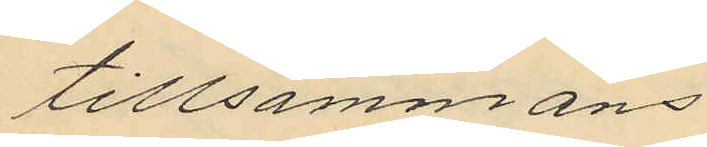tillsammans
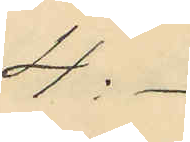4:-
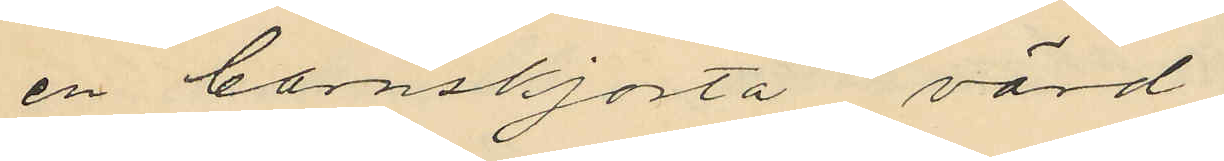en barnskjorta värd
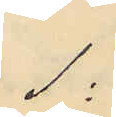1:
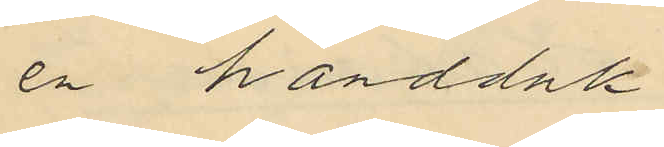en handduk
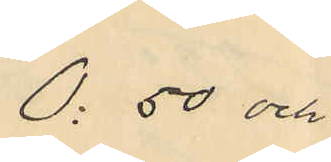0: 50 och
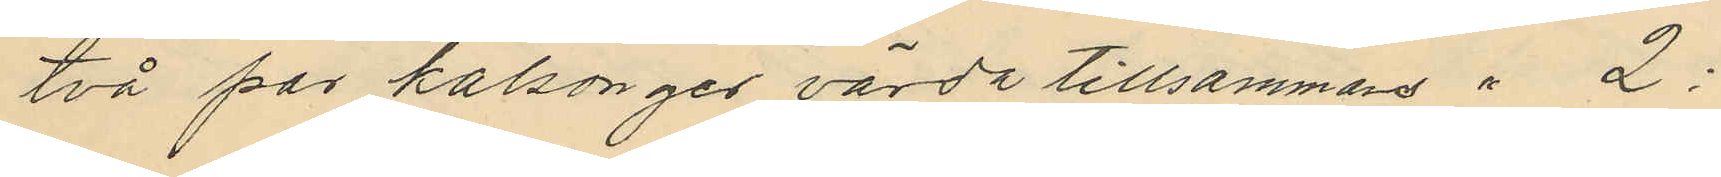två par kalsonger värda tillsammans " 2:
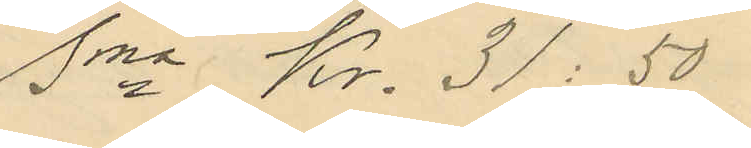Sma Kr. 31:50
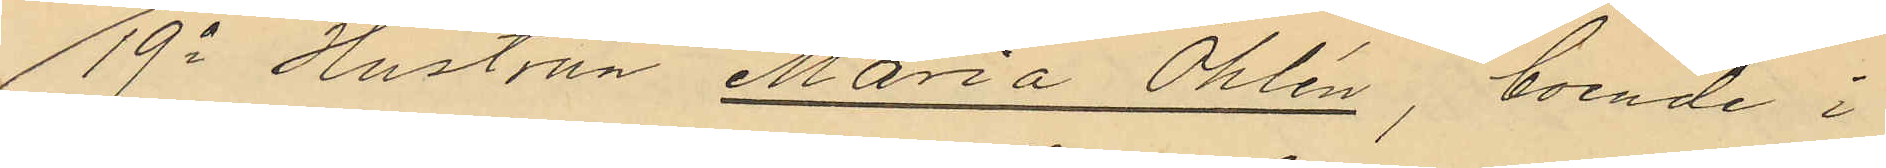19o Hustrun Maria Öhlén, boende i
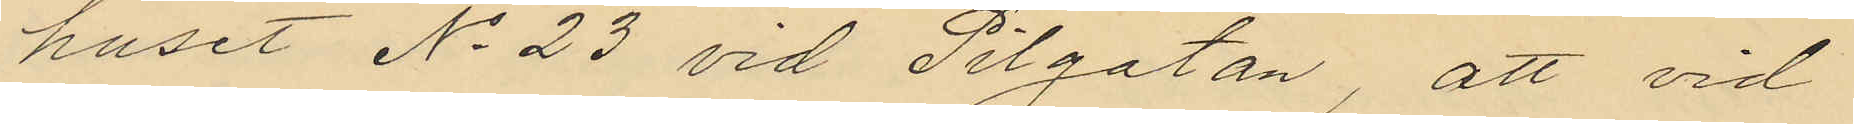huset No 23 vid Pilgatan, att vid
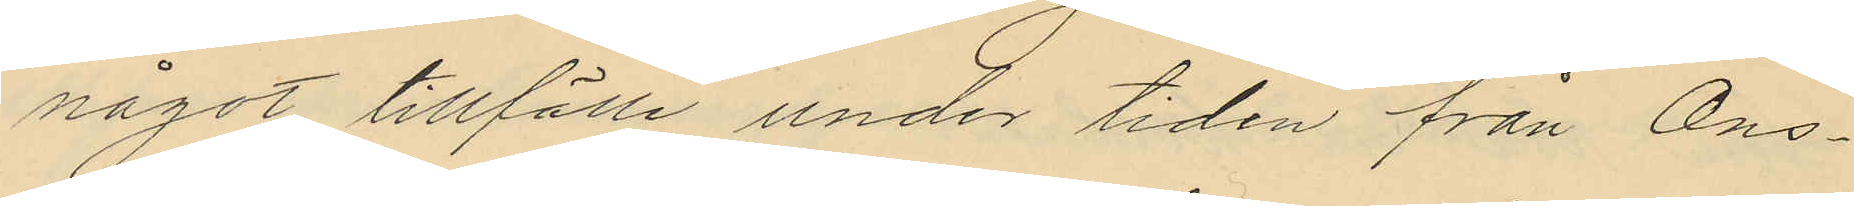något tillfälle under tiden från Ons¬
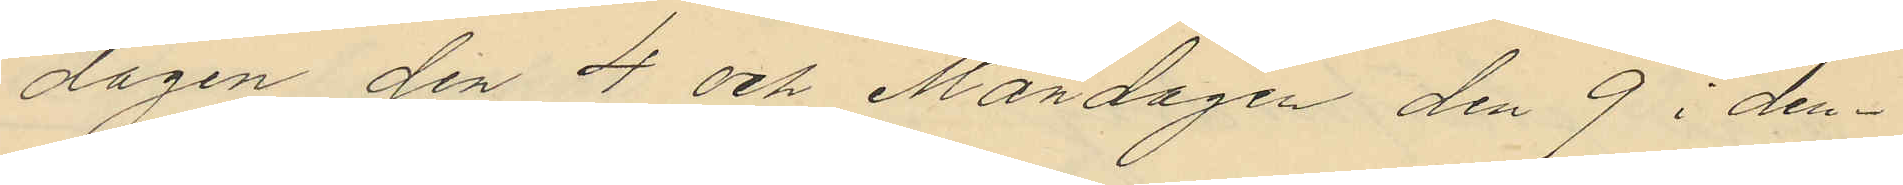dagen den 4 och Måndagen den 9 i den¬
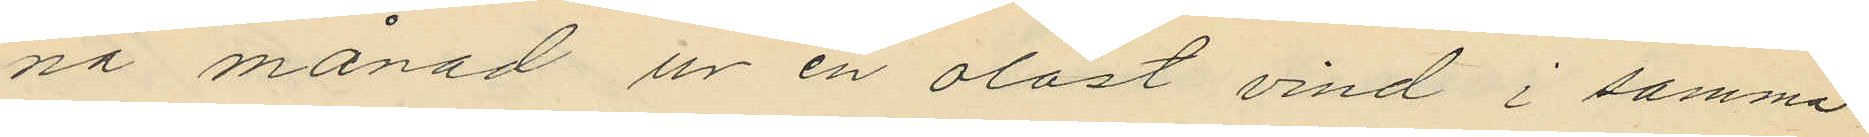na månad un en olåst vind i samma
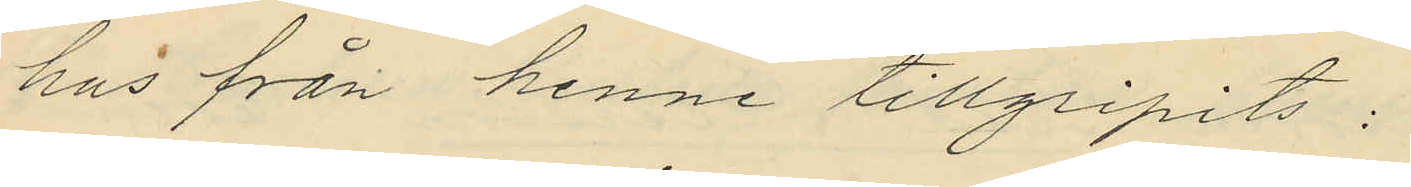hus från henne tillgripits:
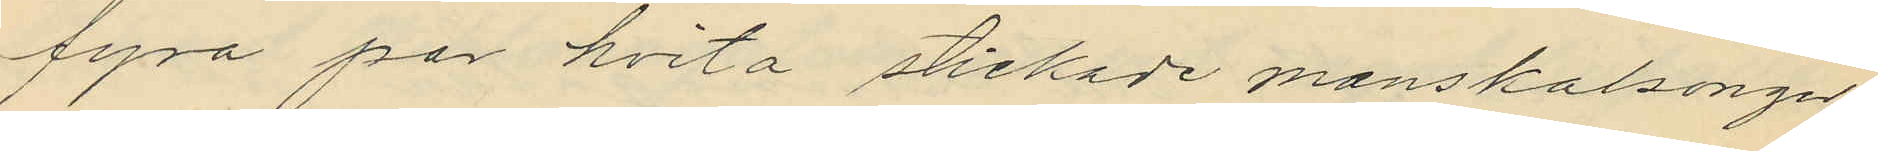fyra par hvita stickade manskalsonger
